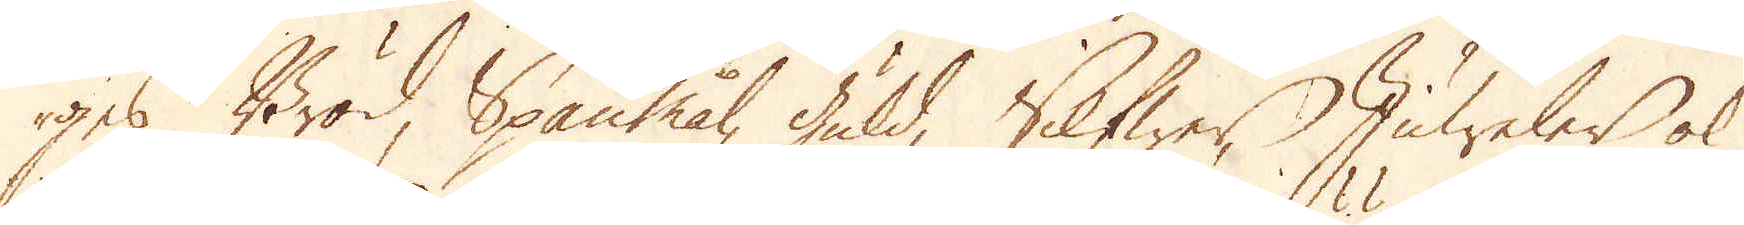ges Bröd, Spanmål, guld, Silfwer, Juweler ok
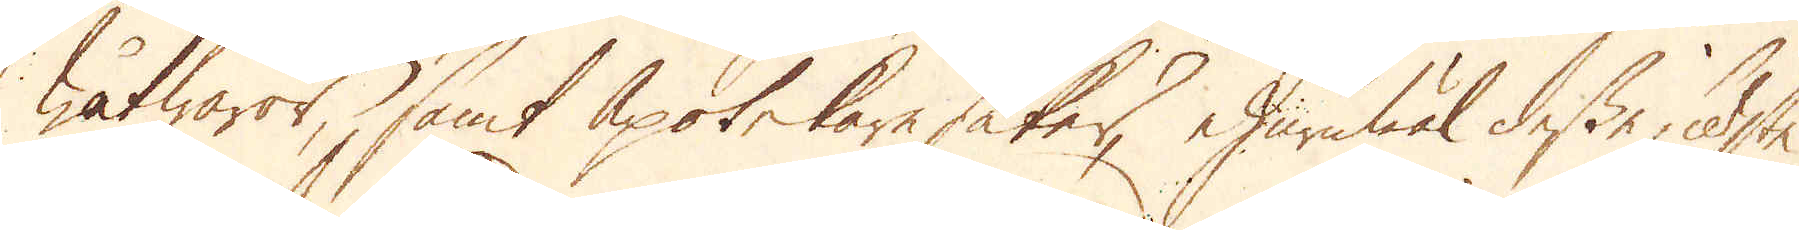wåtwaror, samt Apotekare saker, ehuruwäl desse sidste
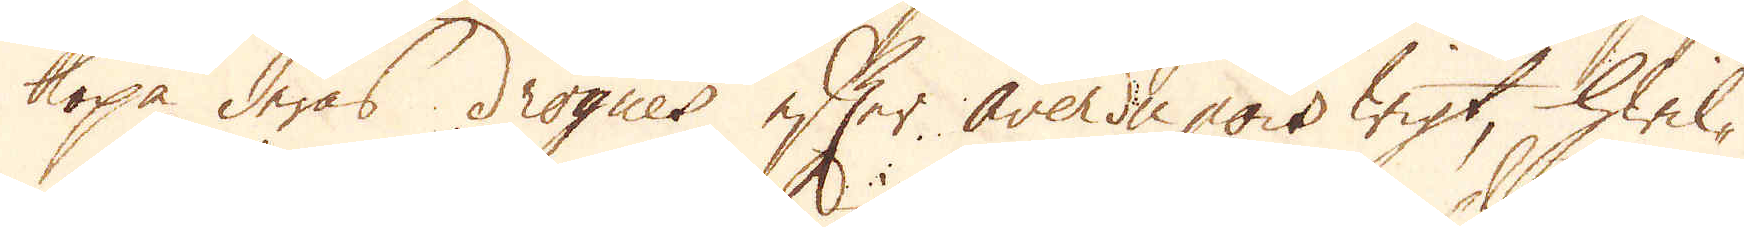köpa deras drogner efter averdupois wigt, hwil-
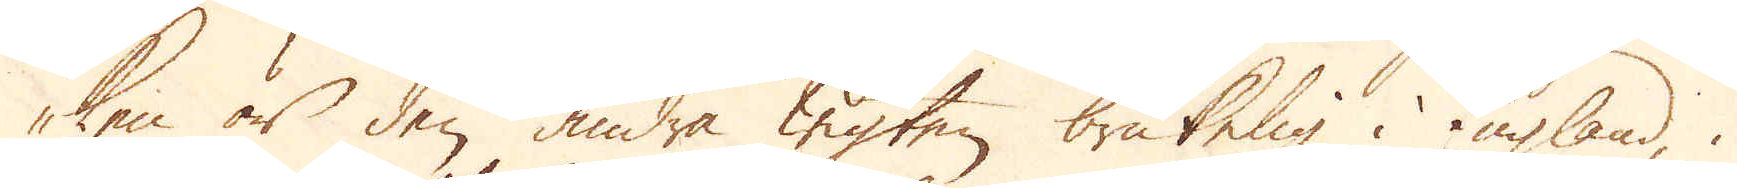ken är den andra wigten brukelig i England, i
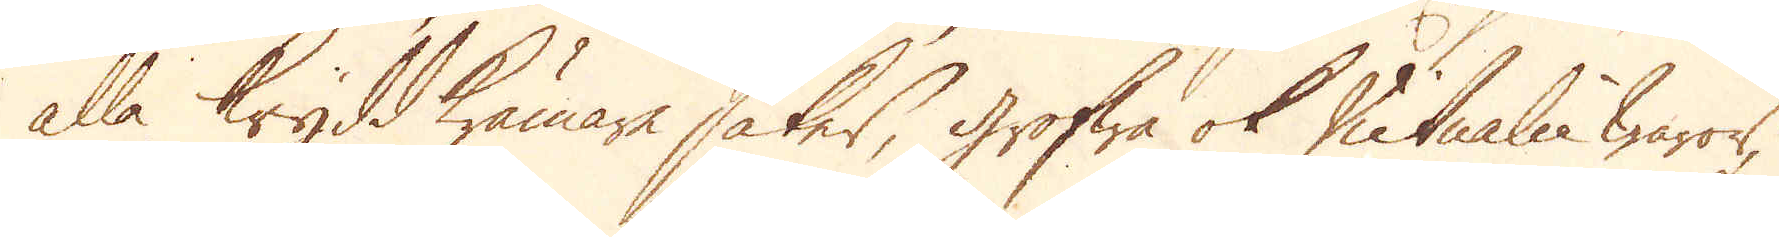alla Kryddkrämare saker, grofwa ok Vitualie waror,
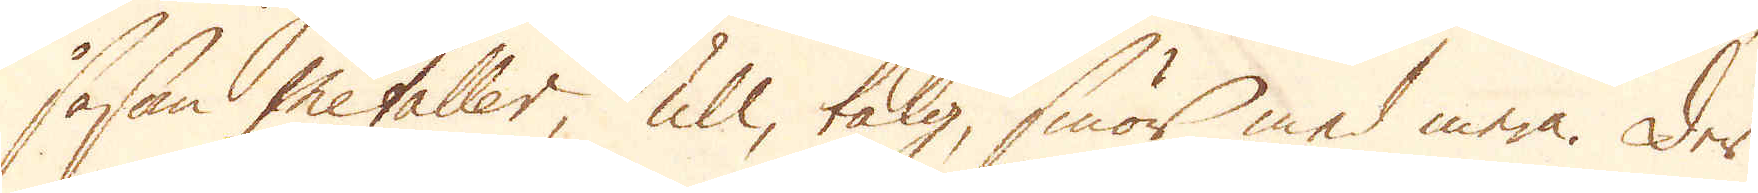såsom Metaller, ull, talg, smör med mera. Der
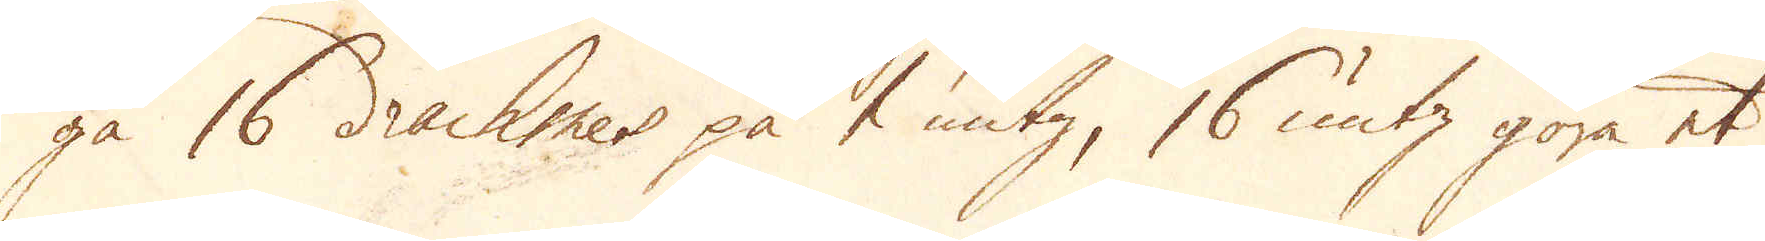gå 16 drachmer på 1 untz, 16 untz göra et
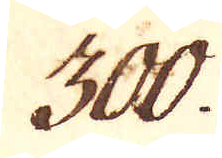300.
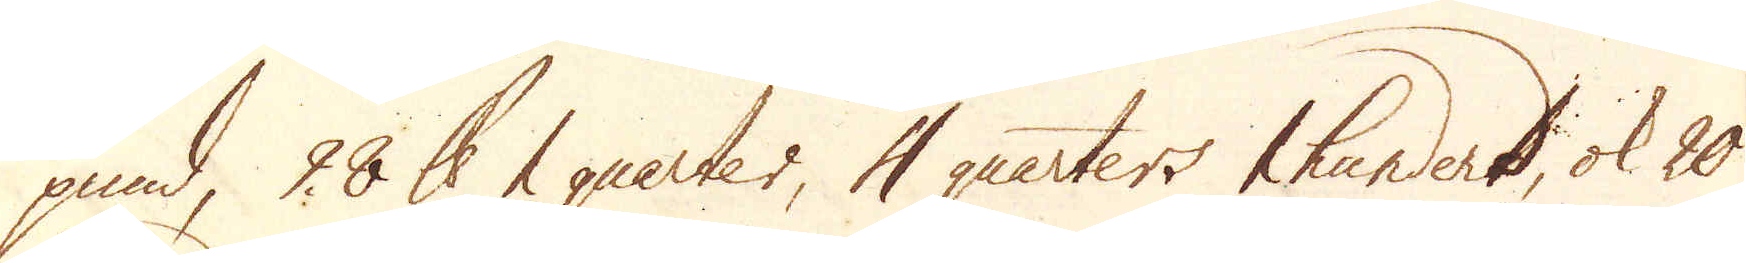pund, 28 skålpund 2 quarter, 4 quarters 1 hunderd, ok 20
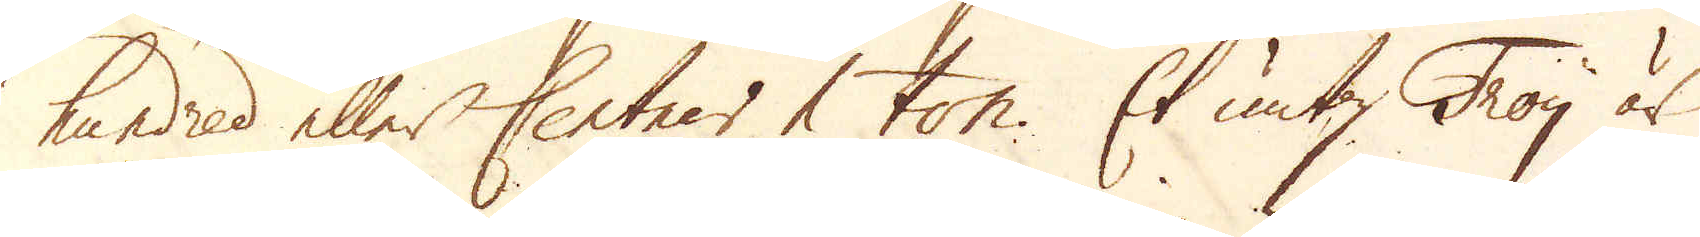hundred eller Centner 1 ton. Et untz Troy är
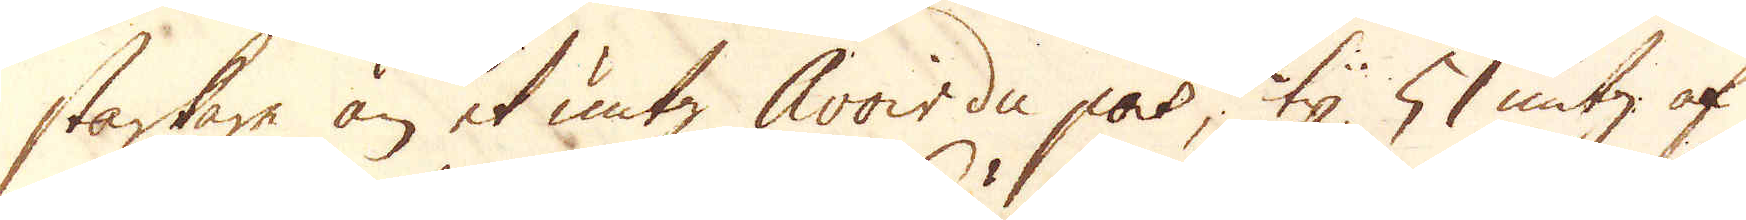starkare än et untz Avoir du pois, ty 5 untz af
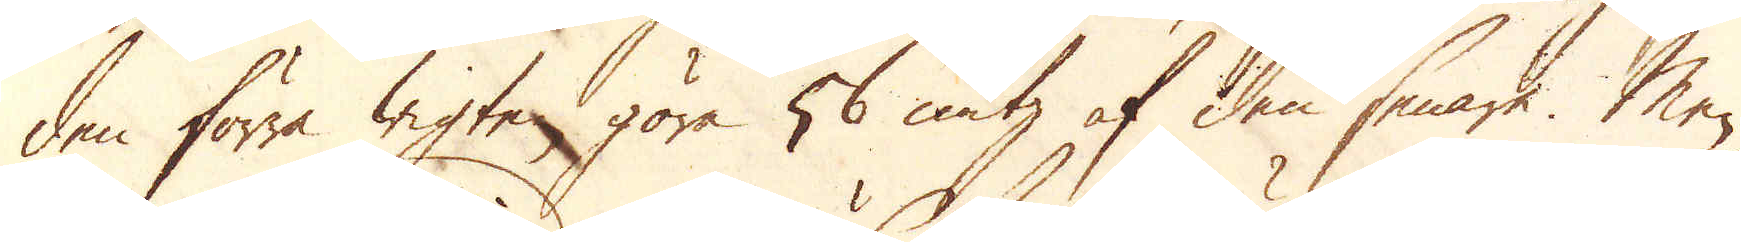den förra wigten göra 56 untz af den senare. Men
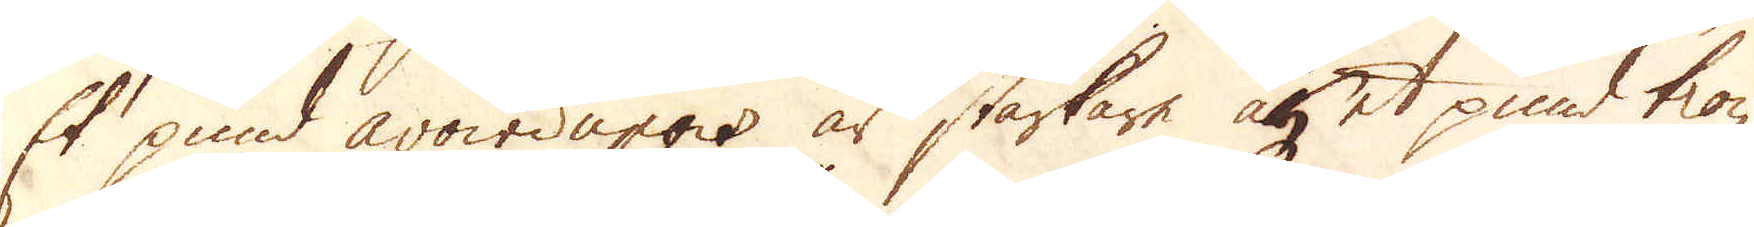Et pund avoirdupois är starkare än et pund troy,
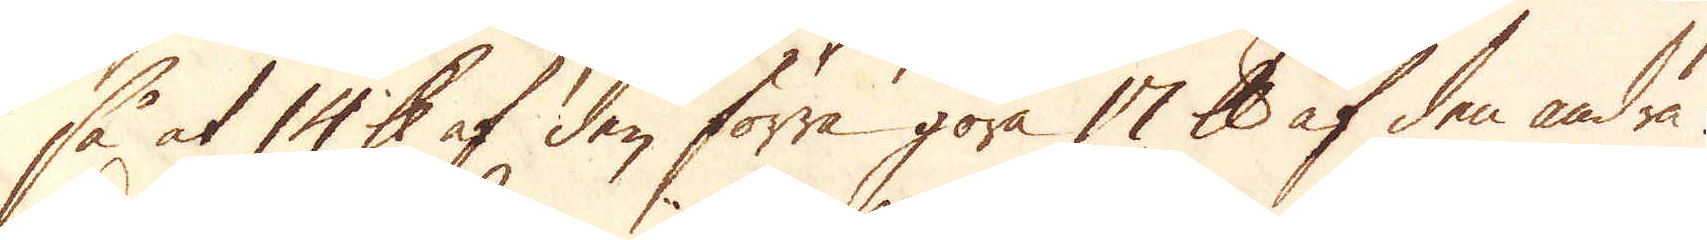så, at 10 skålpund af den förra göra 17 skålpund af den andra.
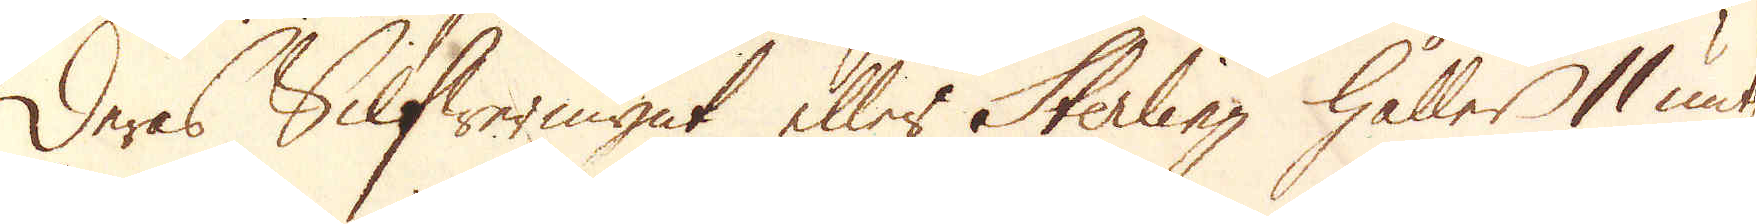Deras Silfwer mynt eller Sterling håller 11 untz
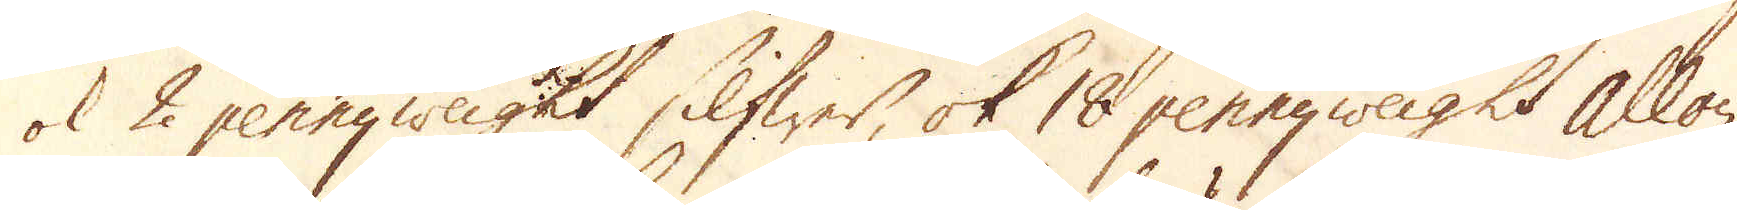ok 2 pennyweight silfwer, ok 18 pennyweight alloy,
